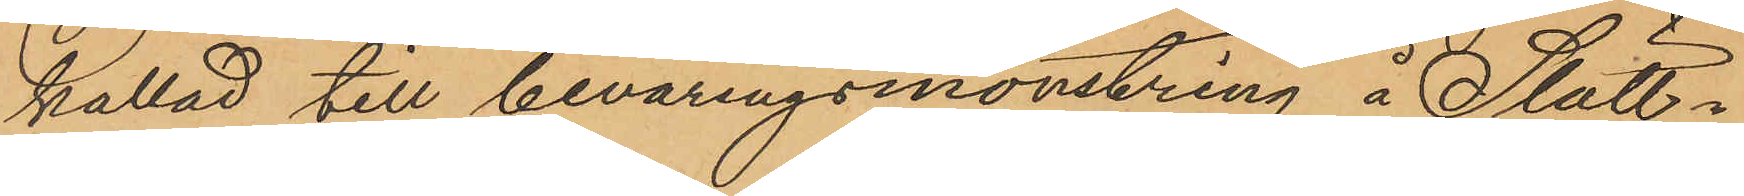kallad till beväringsmönstring å Slätt¬
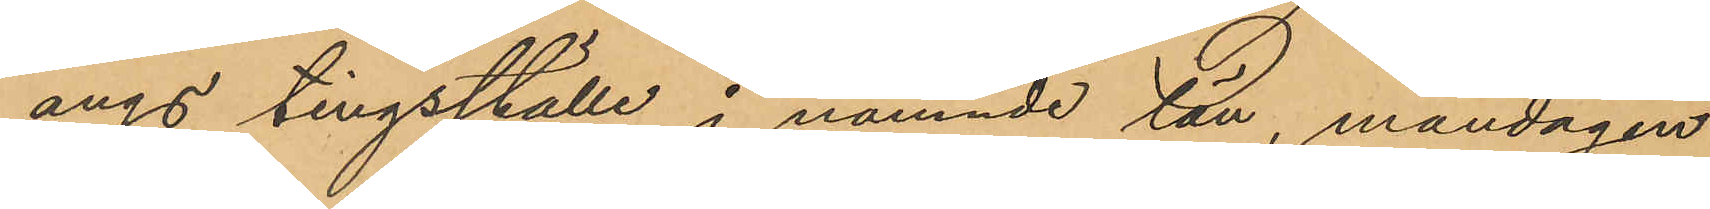ängs tingsställe i nämnde län, måndagen
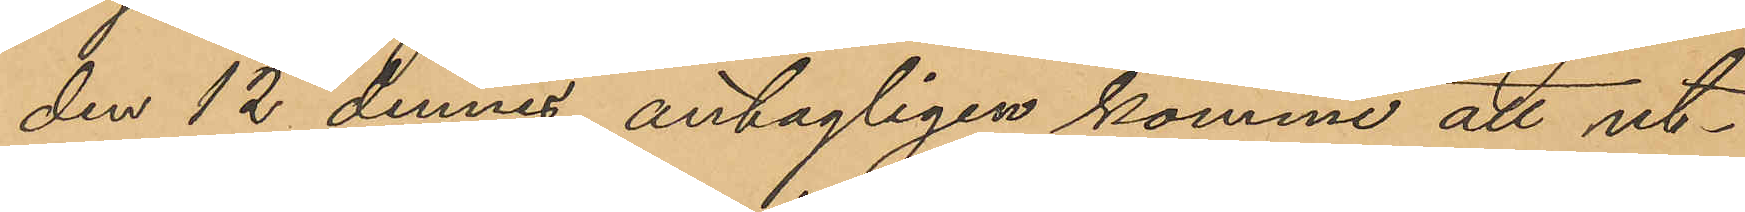den 12 dennes, antagligen komme att ut¬
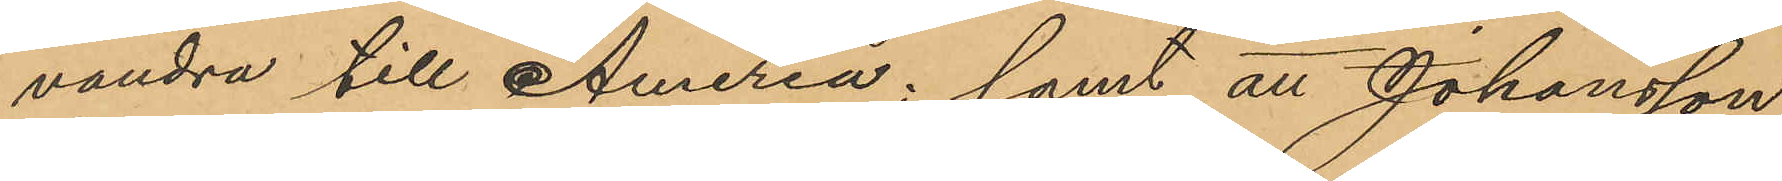vandra till Ameria; samt att Johansson
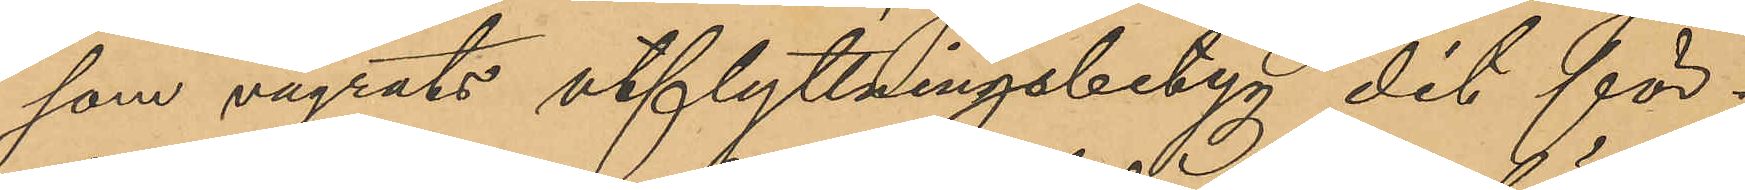som vägrats utflyttningsbetyg dit för¬
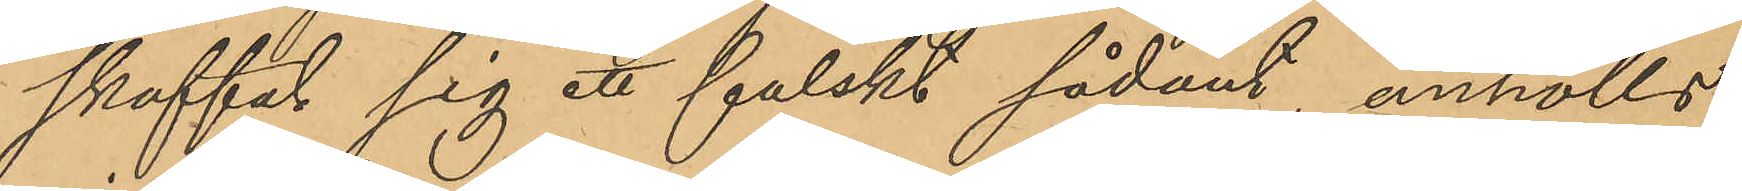skaffat sig ett falskt sådant, anhölls
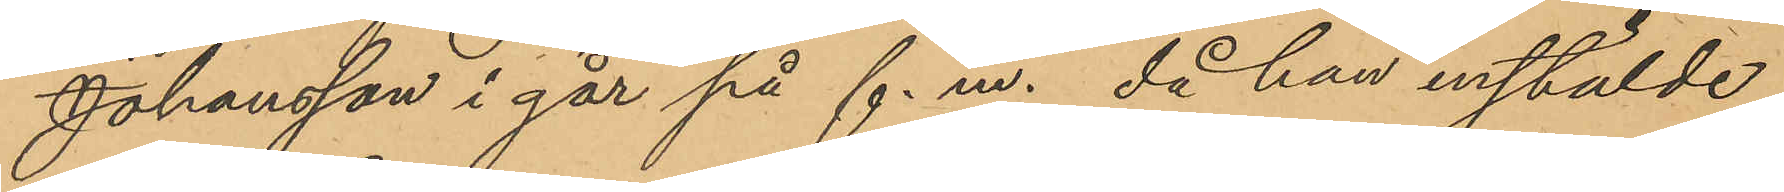Johansson i går på f. m., då han instälde
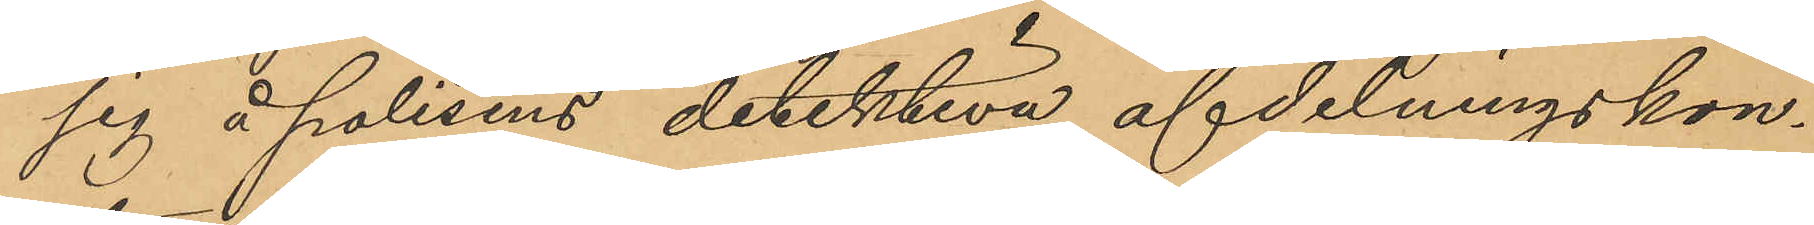sig å polisens detektiva afdelningskon¬
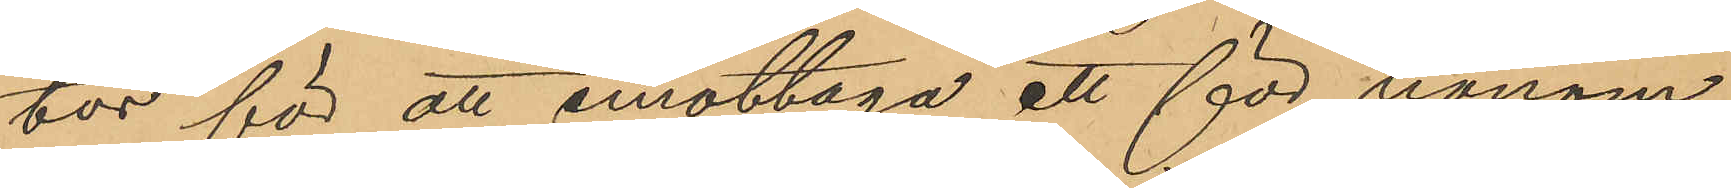tor för att emottaga ett för honom
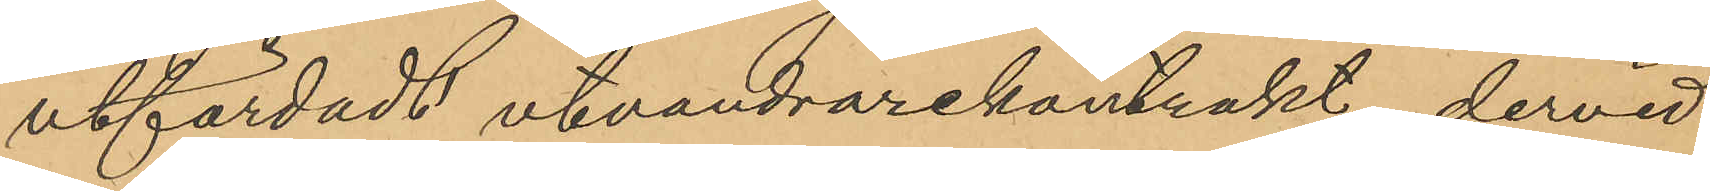utfärdadt utvandrarekontrakt, dervid
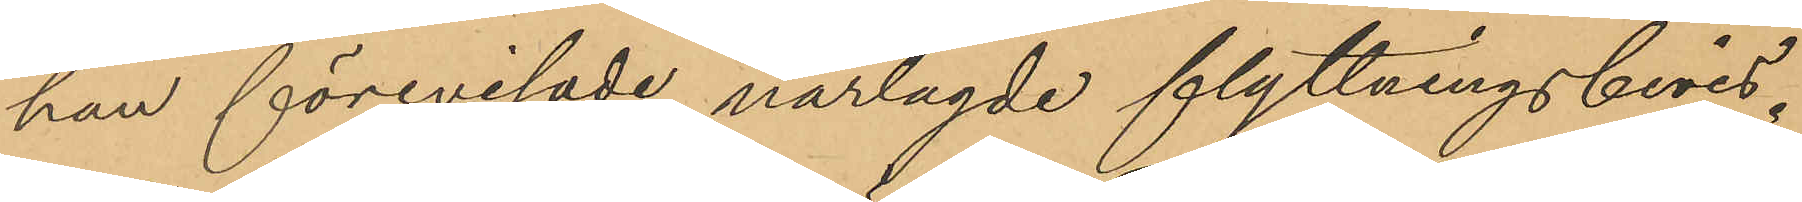han förevisade närlagde flyttningsbevis.
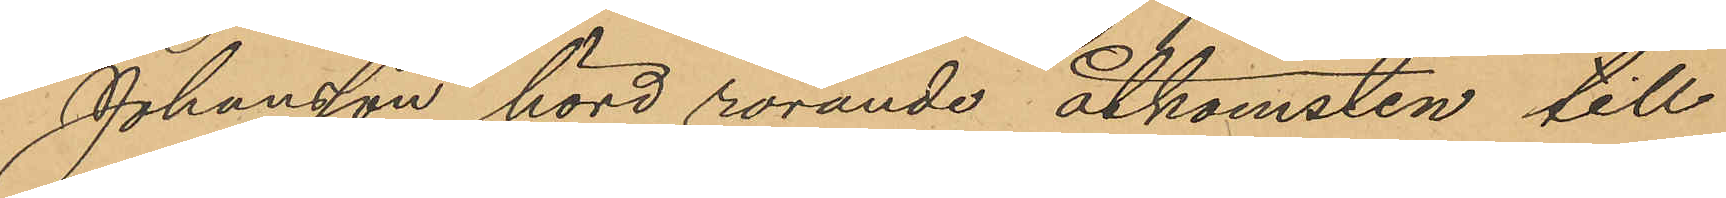Johansson hörd rörande åtkomsten till
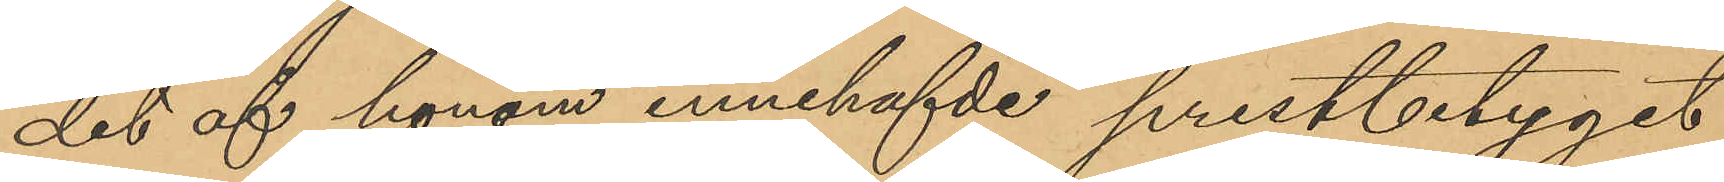det af honom innehafvde prestbetyget
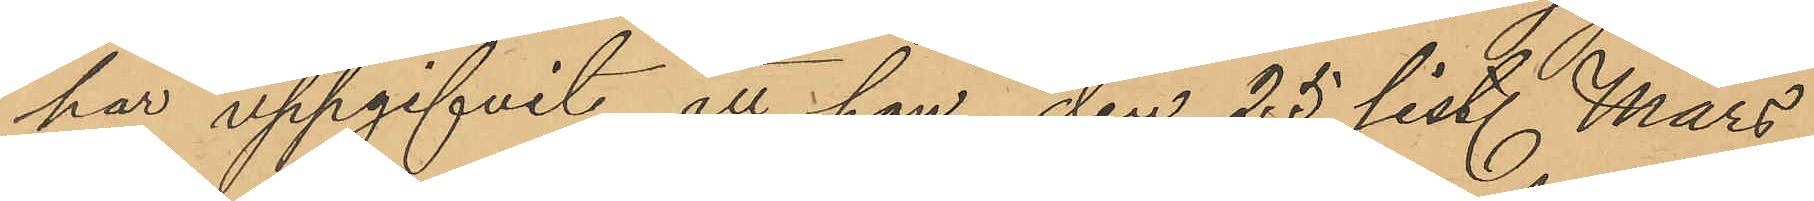har uppgifvit att han den 25 sist. Mars
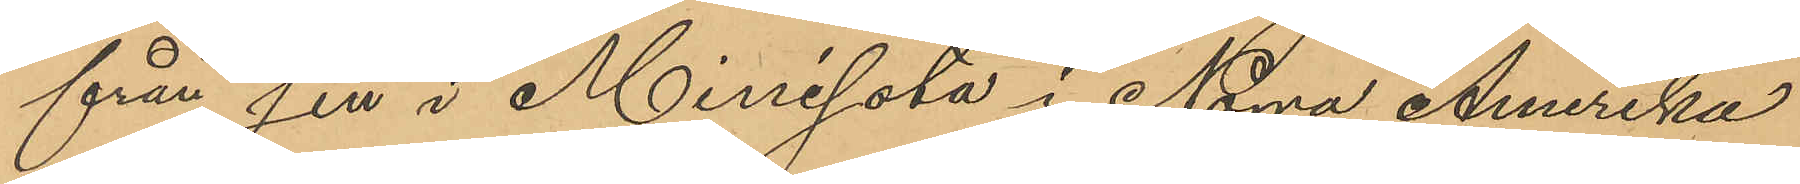från sin i Minesota i Norra Amerika
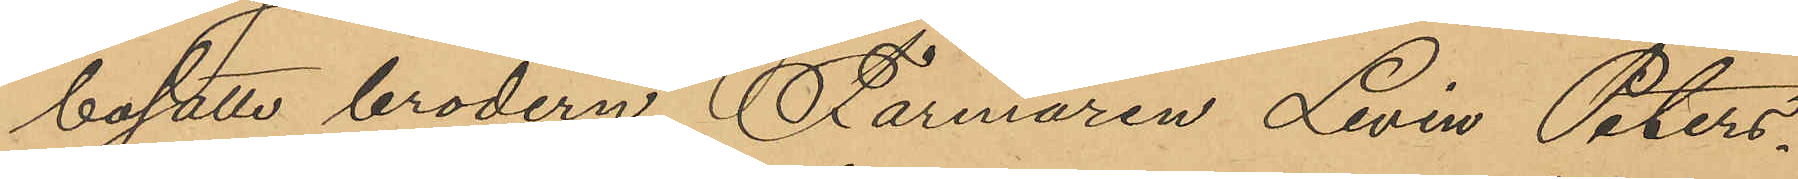bosatte brodern Farmaren Levin Peters¬
